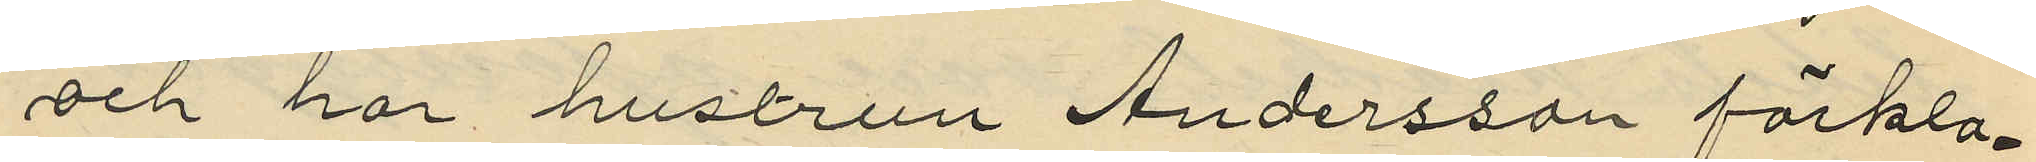och har hustrun Andersson förkla¬
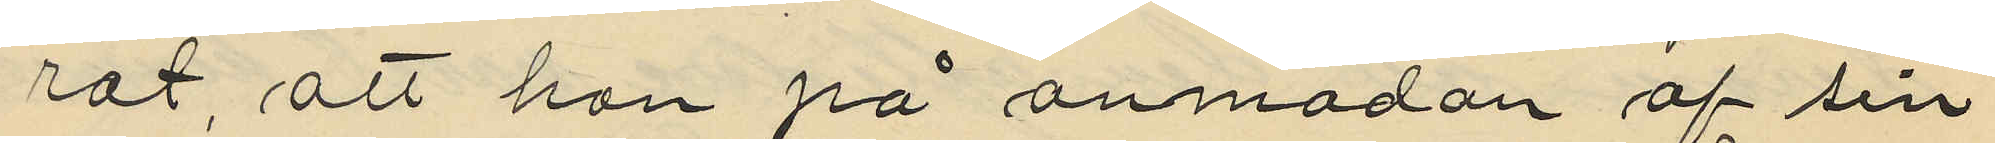rat, att hon på anmodan af sin
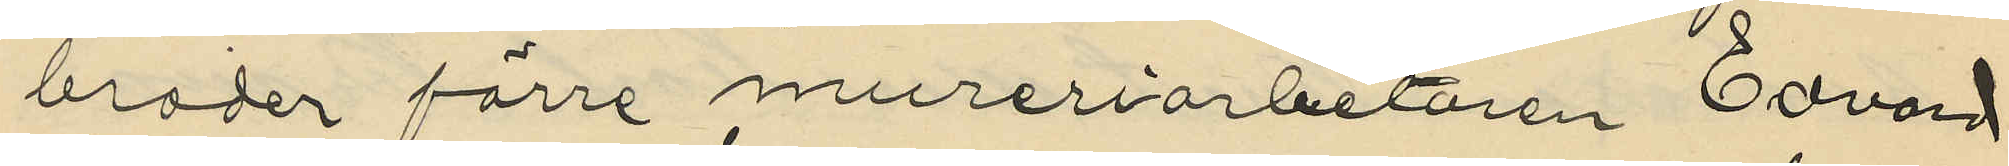broder förre mureriarbetaren Edvard
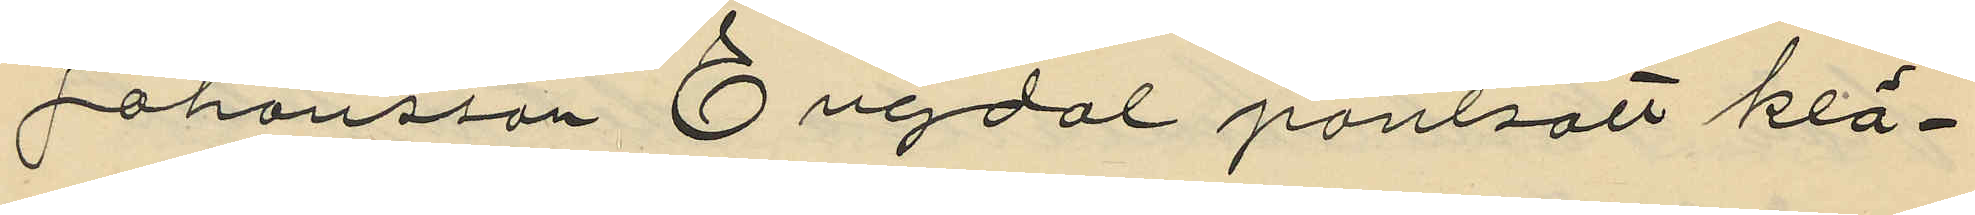Johansson Engdal pantsatt klä¬
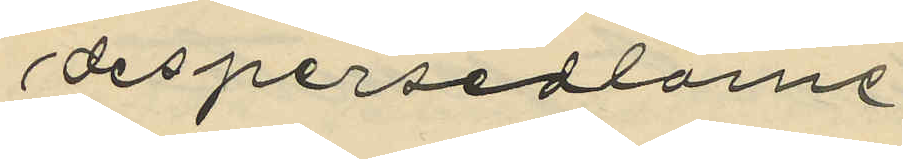despersedlarne
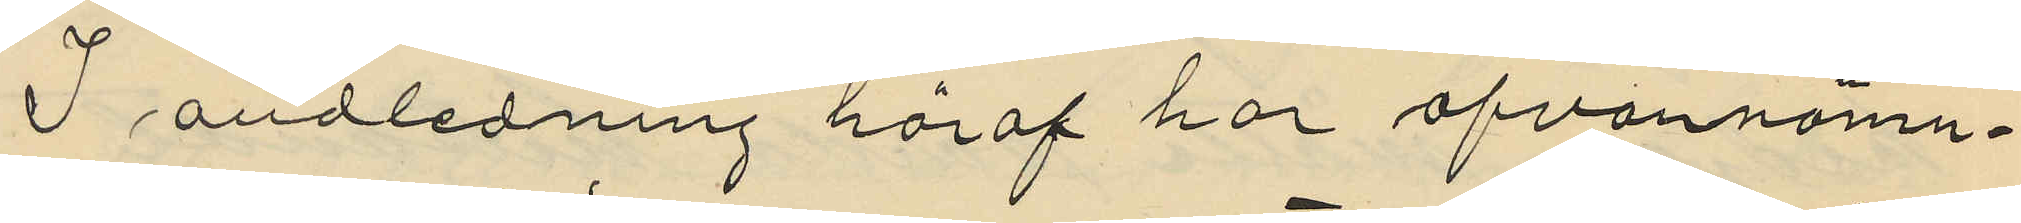I andledning häraf har ofvannämn¬
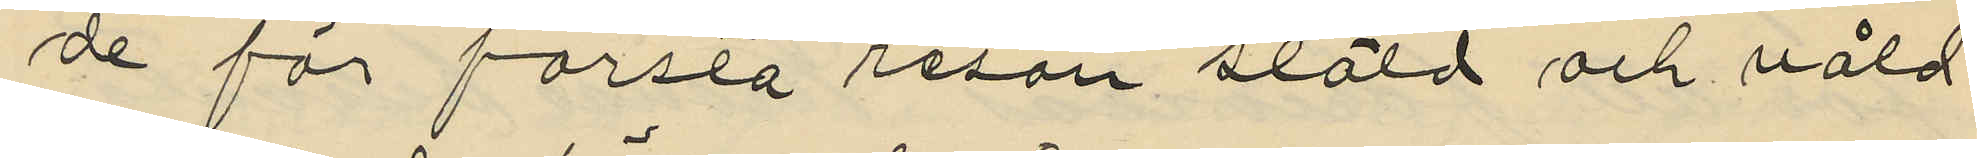de för första resan stöld och våld
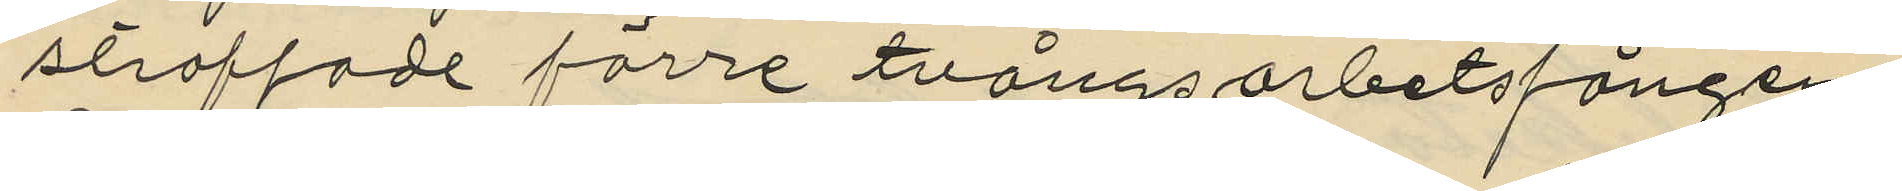straffade förre tvångsarbetsfången
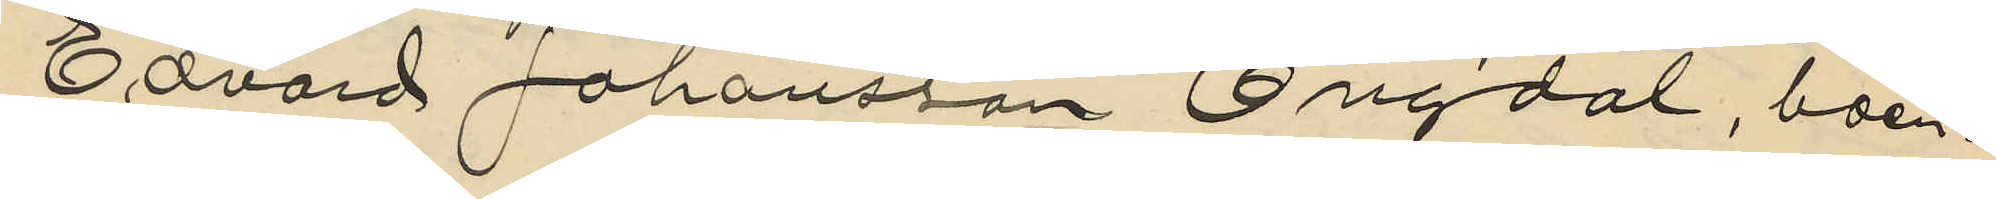Edvard Johansson Engdal, boen¬
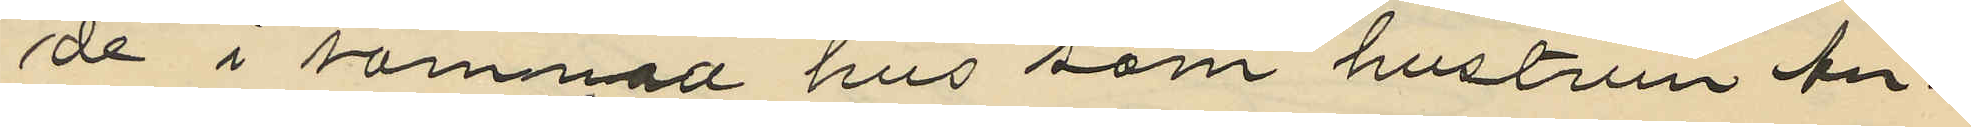de i samman hus som hustrun An¬
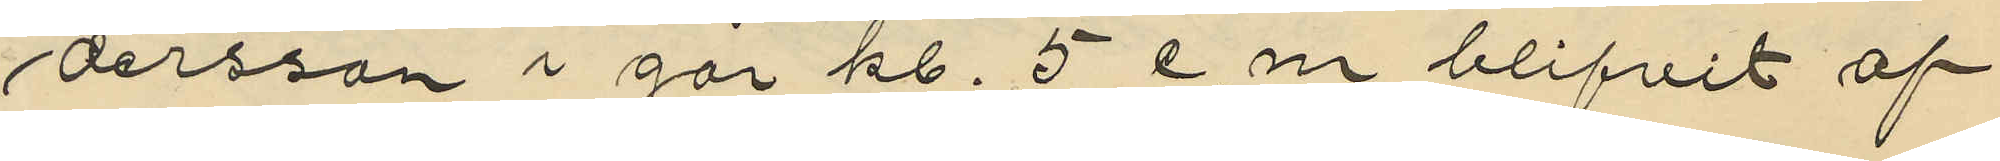dersson i går kl. 5 e.m blifvit af
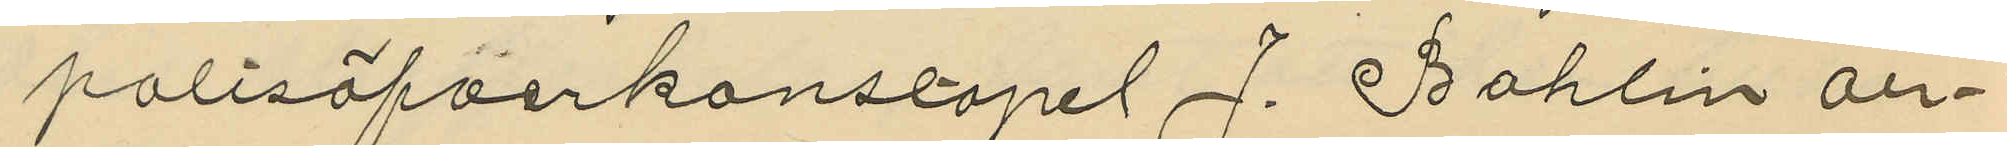polisöfverkonstapel J. Bohlin an¬
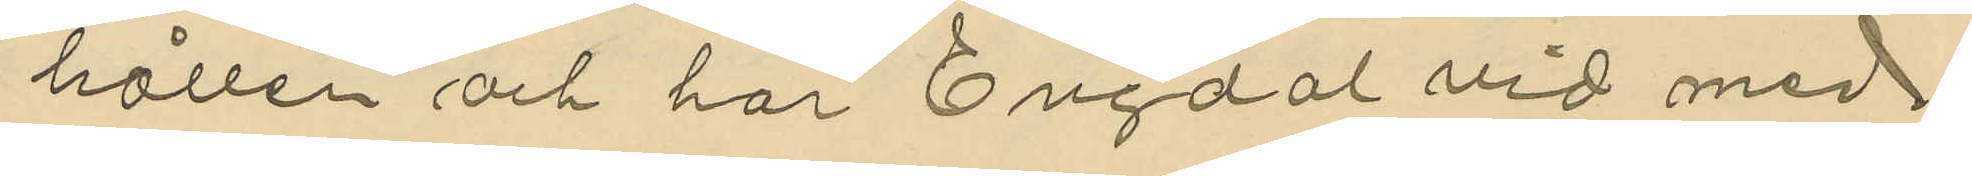hållen och har Engdal vid med
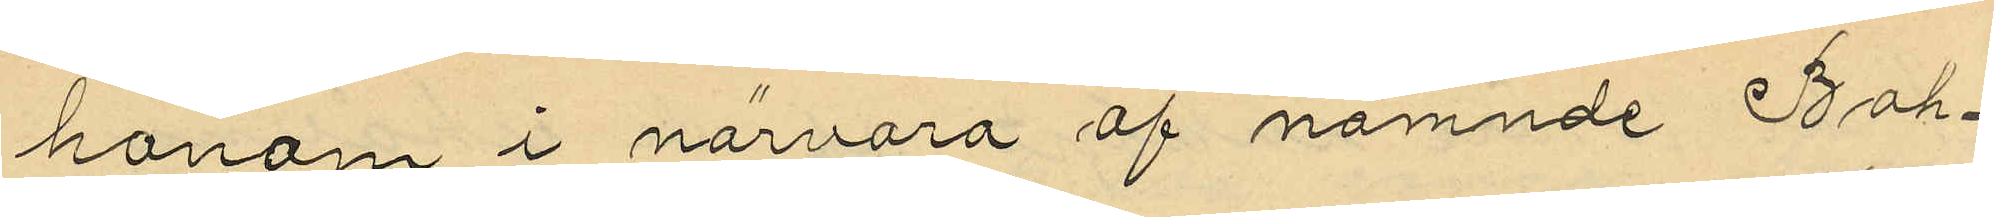honom i närvaro af nämnde Boh¬
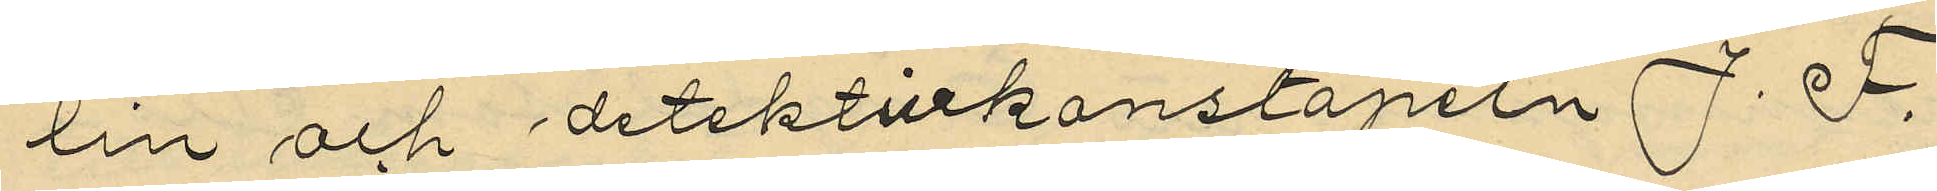lin och detektivkonstapeln J. F.
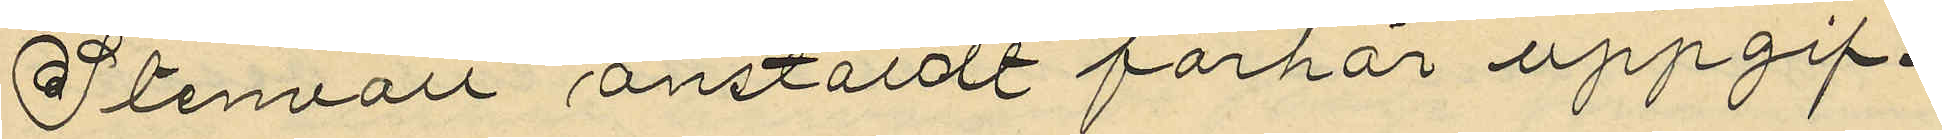Stenvall anstäldt förhör uppgif¬
